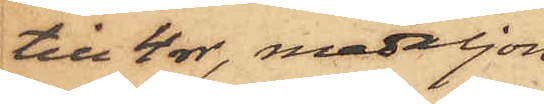till 4 rdr, medaljon¬
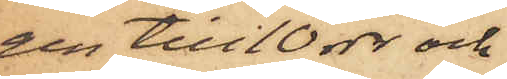gen till 10 rdr och
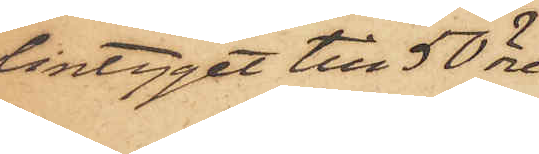lintyget till 50 öre.
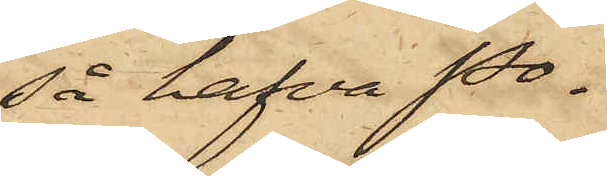Så hafva Po¬
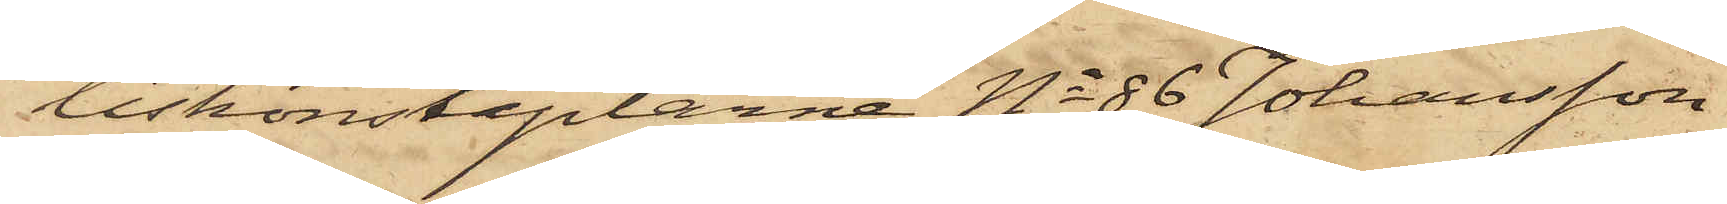liskonstaplarne No 86 Johansson
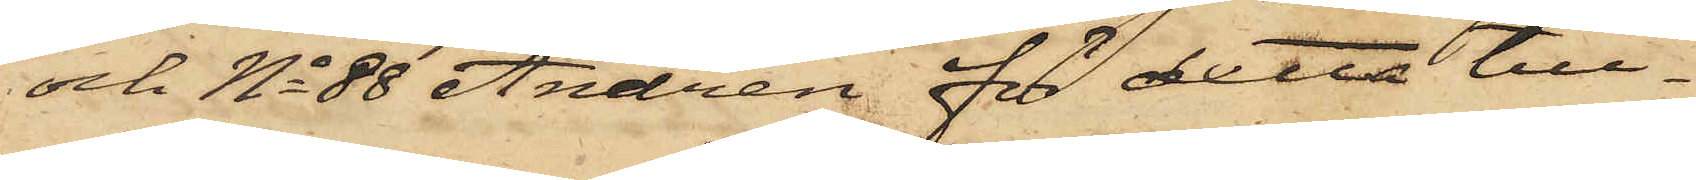och No 88 Andrén för detta till¬
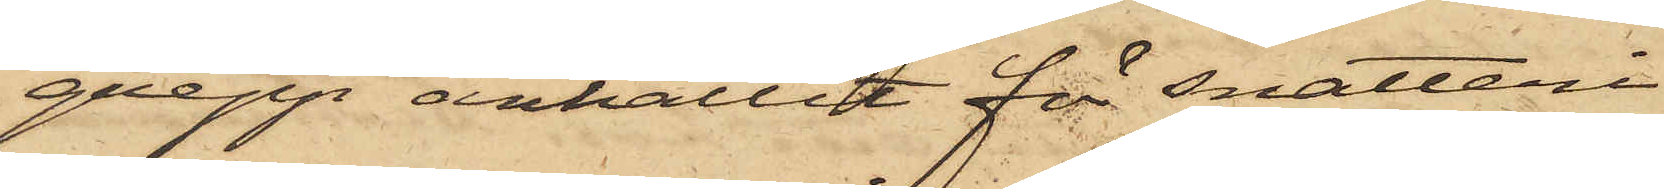grepp anhållit för snatteri
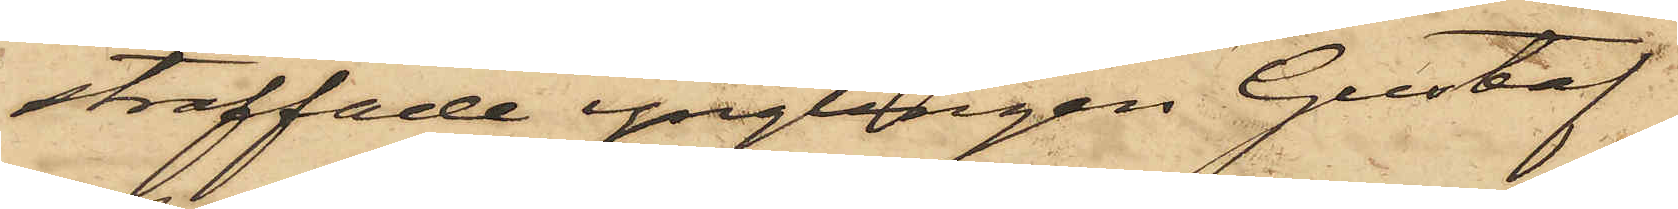straffade ynglingen Gustaf
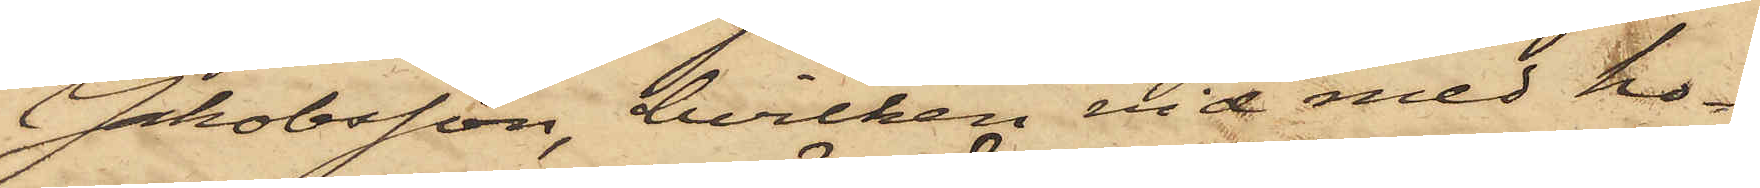Jakobsson, hvilken vid med ho¬
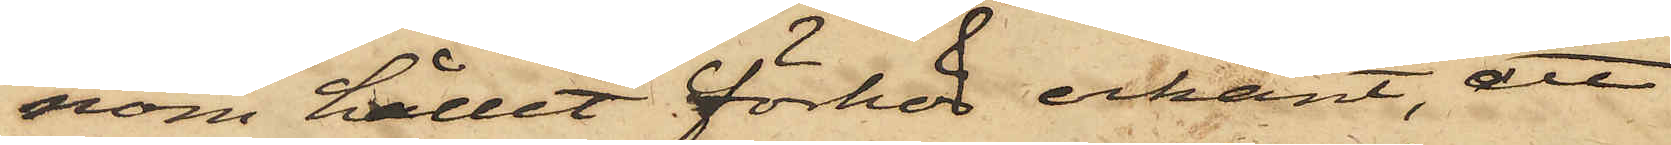nom hållet förhör erkänt, att
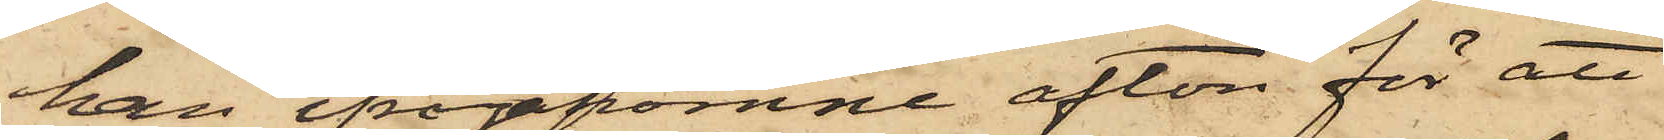han ifrågakomne afton för att
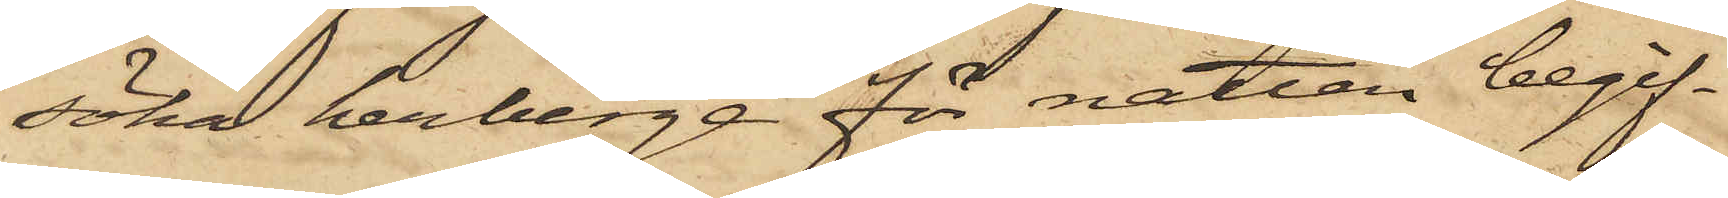söka herberge för natten begif¬
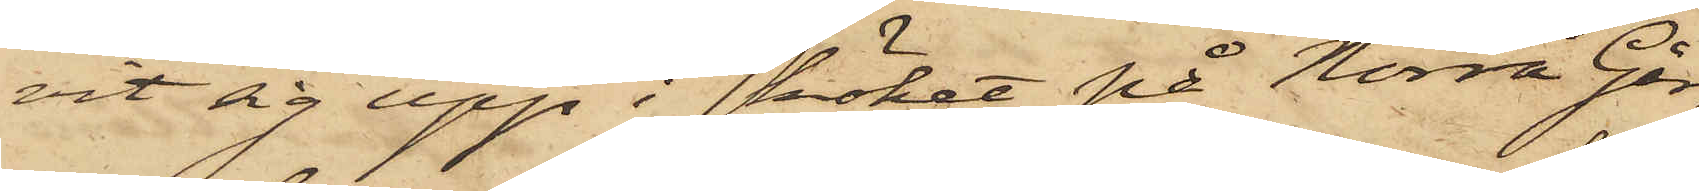vit sig upp i köket på Norra Går¬
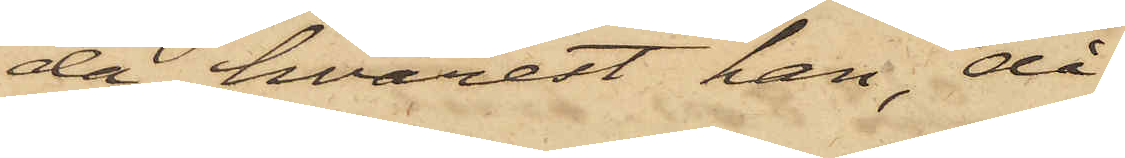da, hvarest han, då
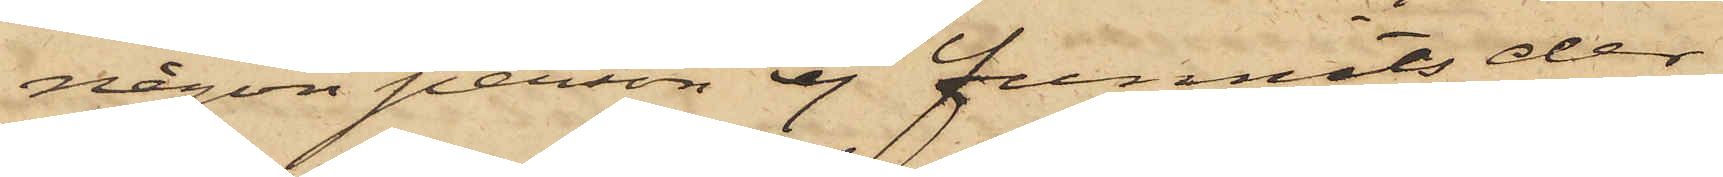någon person ej funnits der,
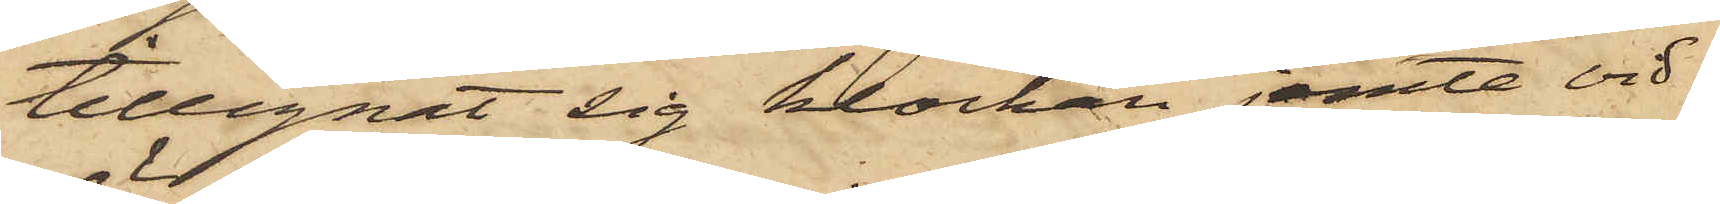tillegnat sig klockan jemte vid¬
